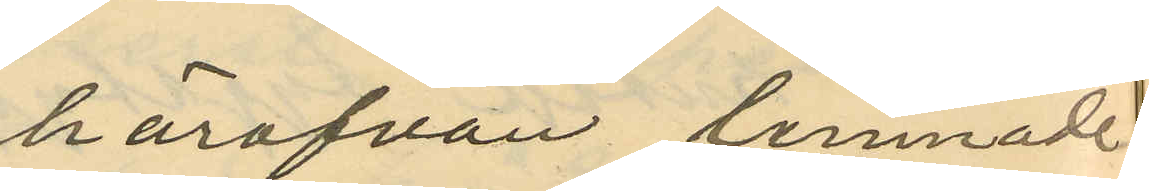härofvan lemnade
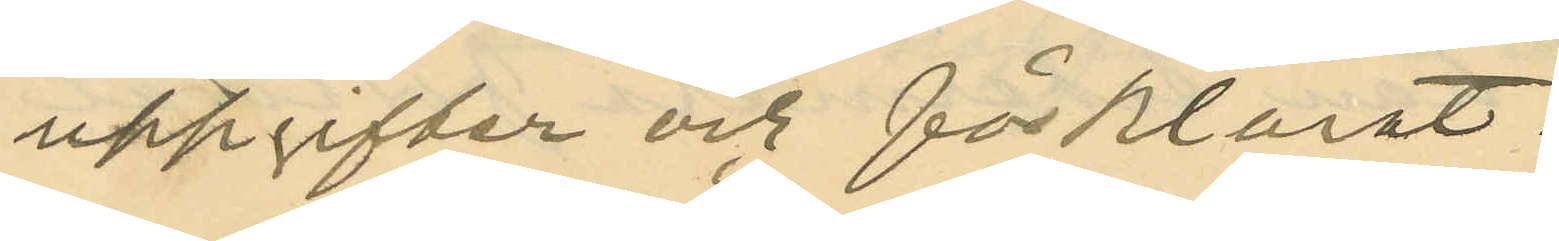uppgifter och förklarat:
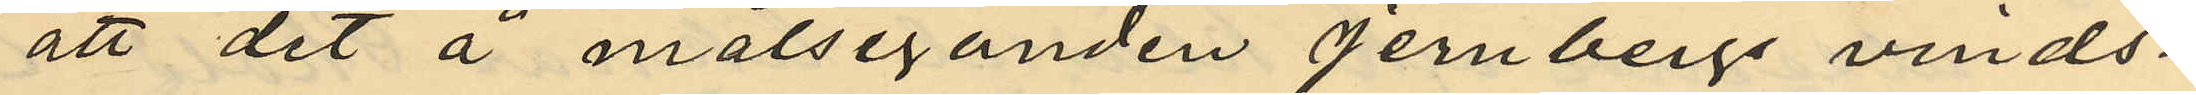att det å målseganden Jernbergs vinds¬
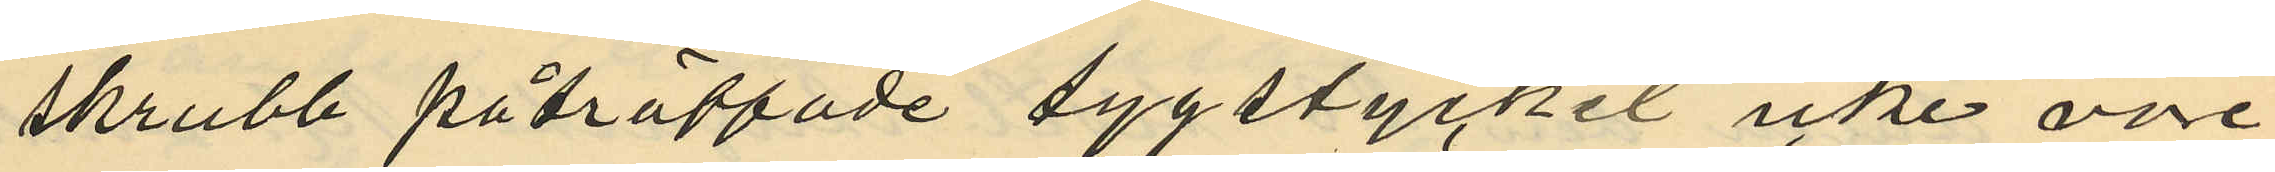skrubb påträffade tygstycket icke vore
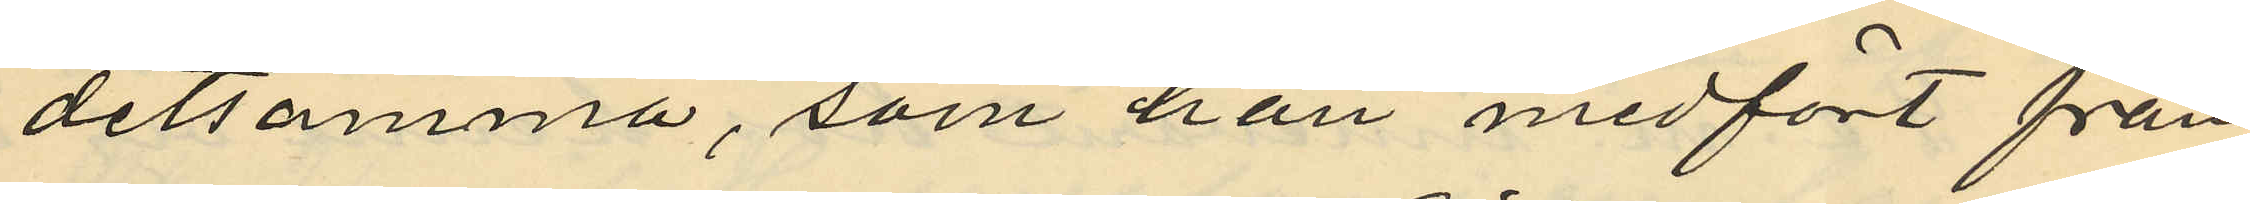detsamma, som han medfört från
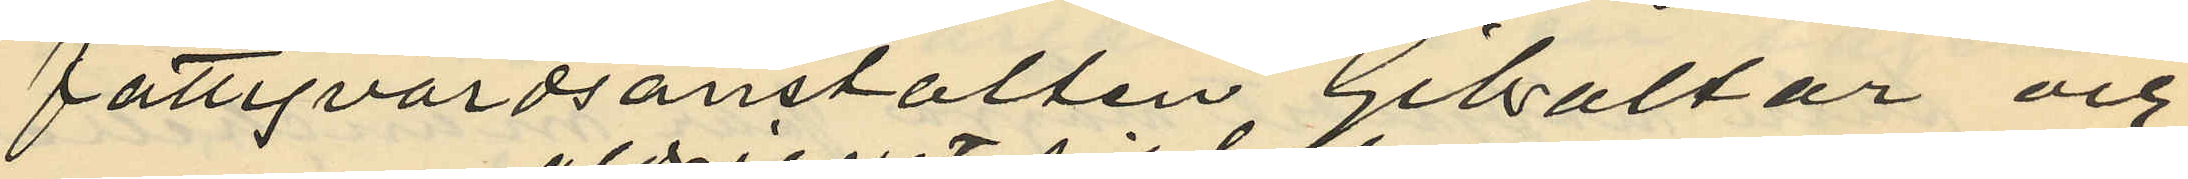fattigvårdsanstalten Gibraltar och
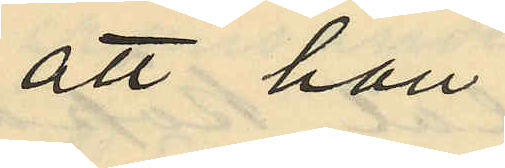att han
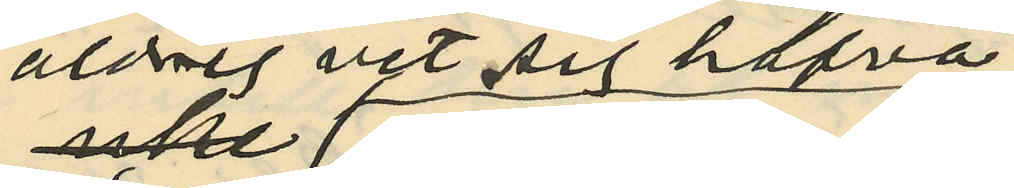aldrig vet sig hafva
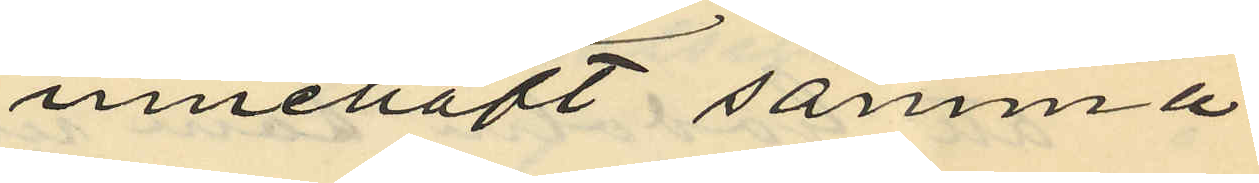innehaft samma
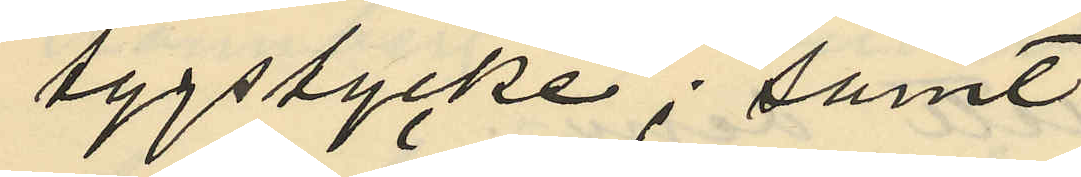tygstycke; samt
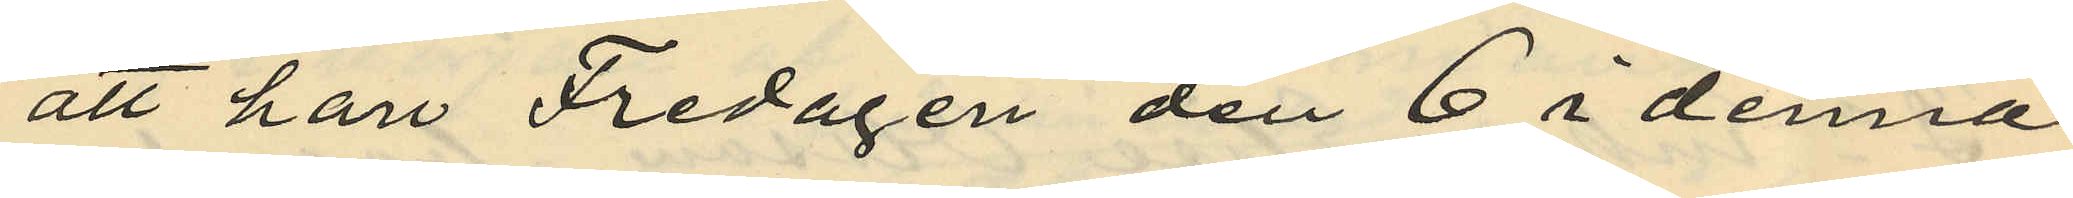att han Fredagen den 6 i denna
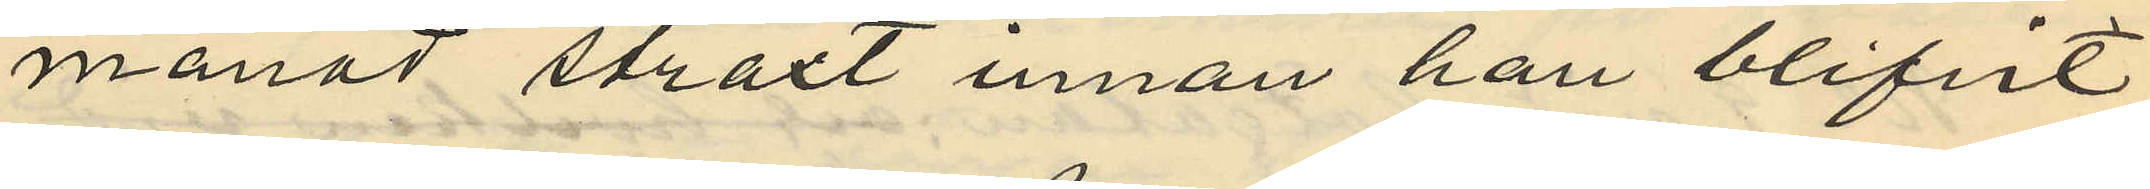månad straxt innan han blifvit
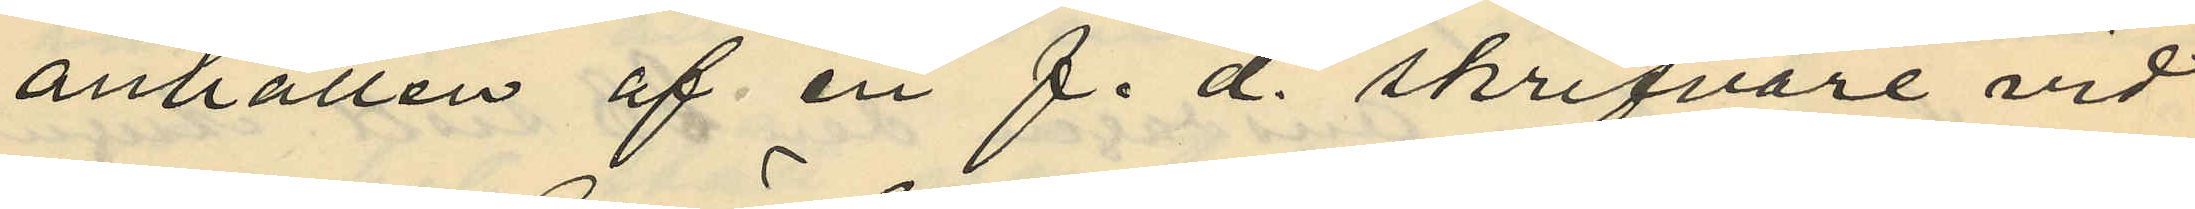anhållen af en f. d. skrifvare vid
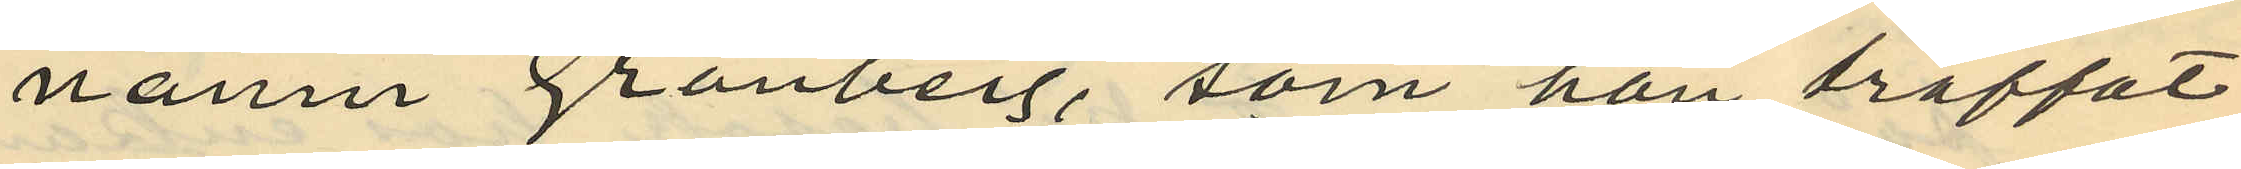namn Grönberg, som han träffat
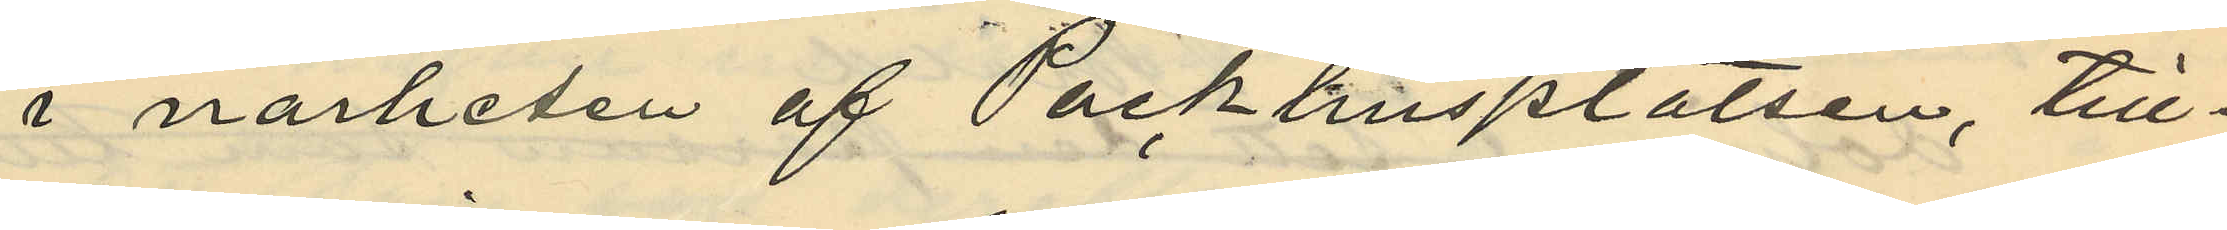i närheten af Packhusplatsen, till¬
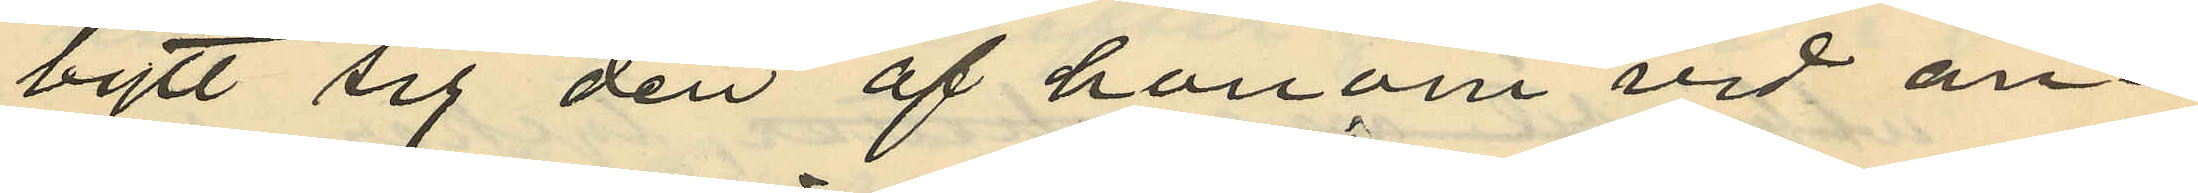bytt sig den af honom vid an¬
